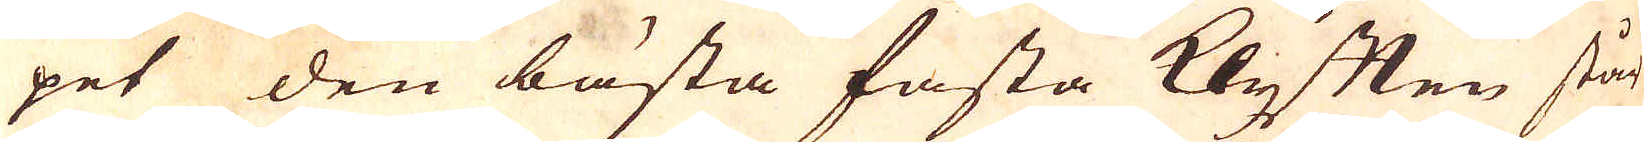pet den bästa fasta Klyften står
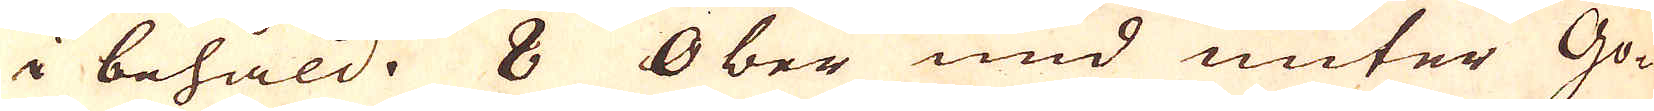i behåld. 8 Ober und unter Go-
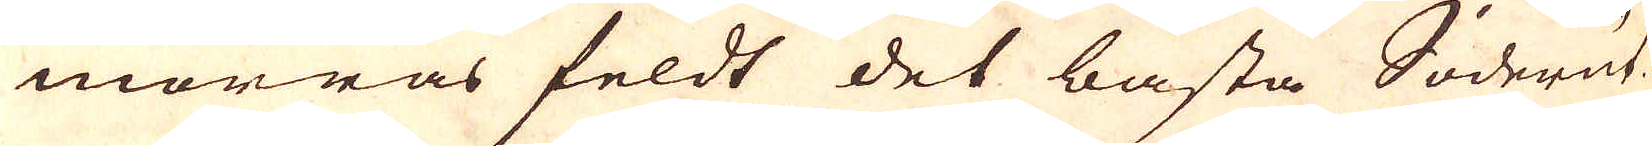morras feldt det bästa Söderut.
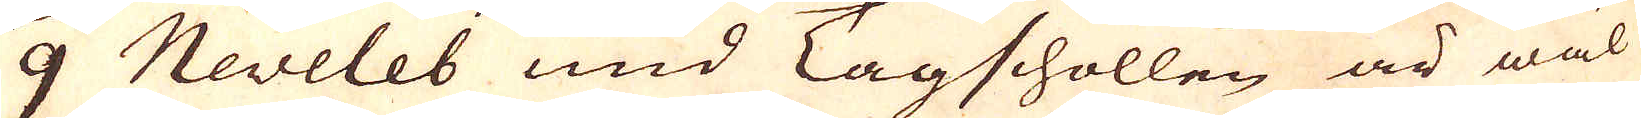9 Neveleb und Tagschollen är wäl
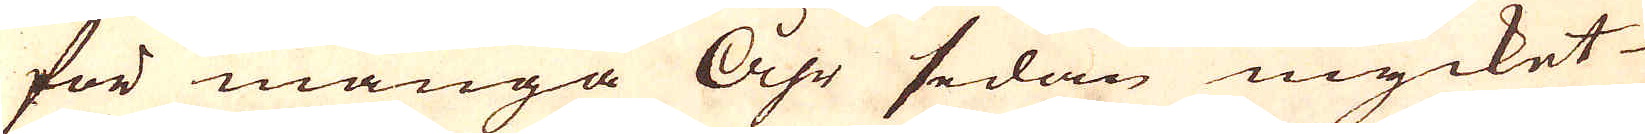för många Åhr sedan mycket
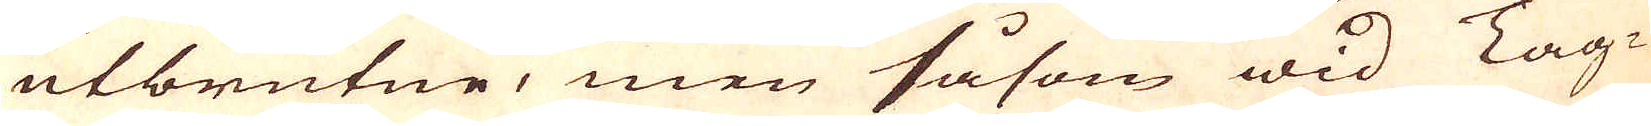utbrutne, men såsom wid Tag-
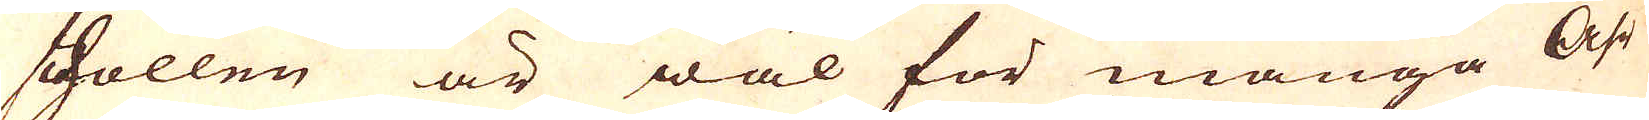schollen är wäl för många Åhr
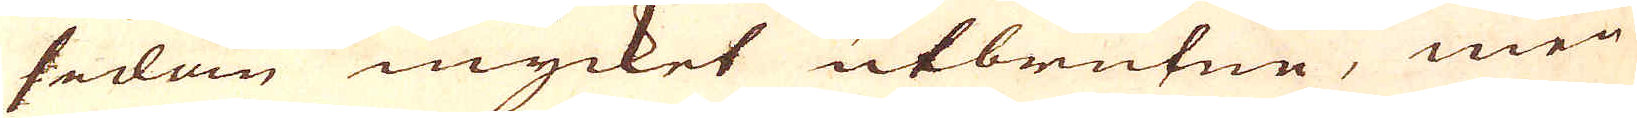sedan mycket utbrutne, men
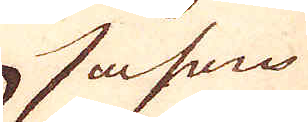såsom
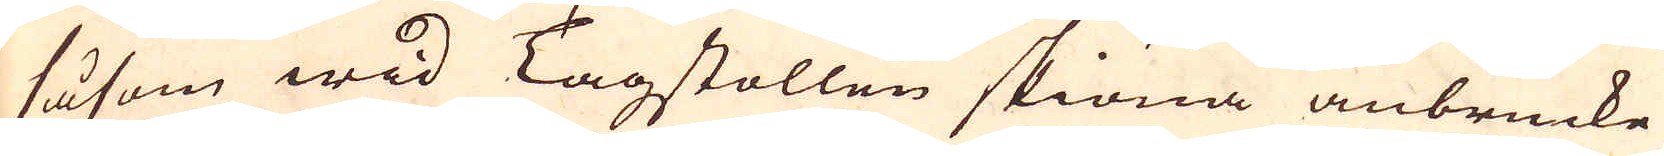såsom wid Tagstollen skiöna anbrucke
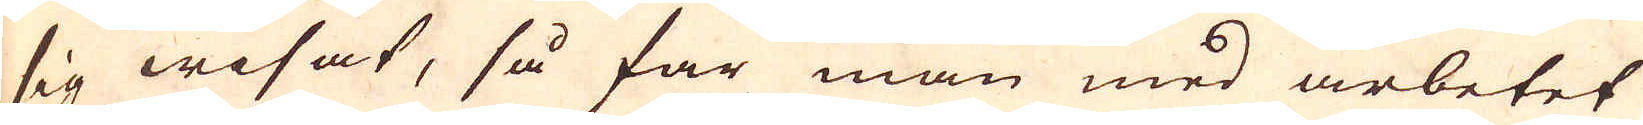sig wisat, så far man med arbetet
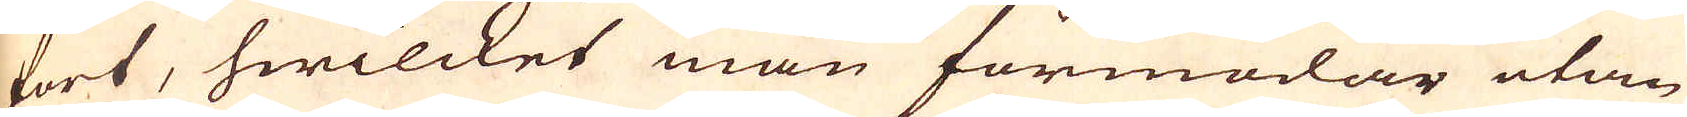fort, hwilcket man förmodar utan
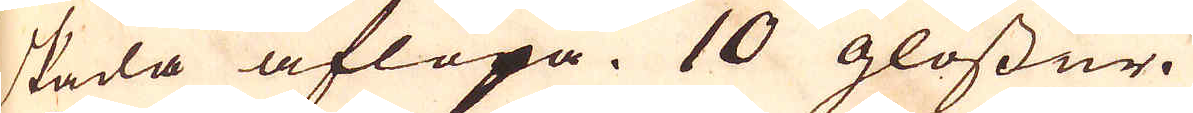skada aflöpa. 10 glossur.
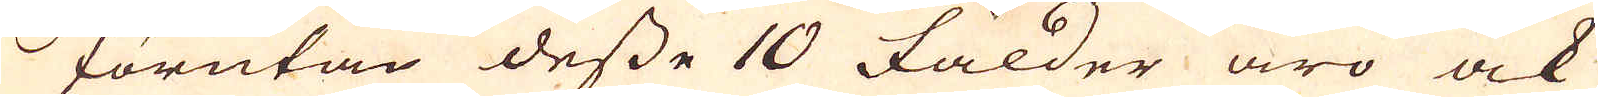Förutan desse 10 fälder äro ock
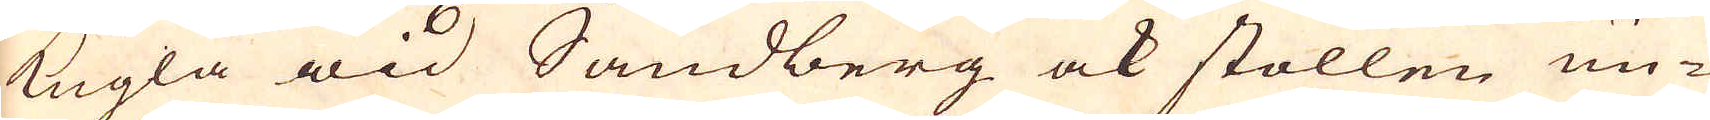kugla wid Sandberg ock stollen un-
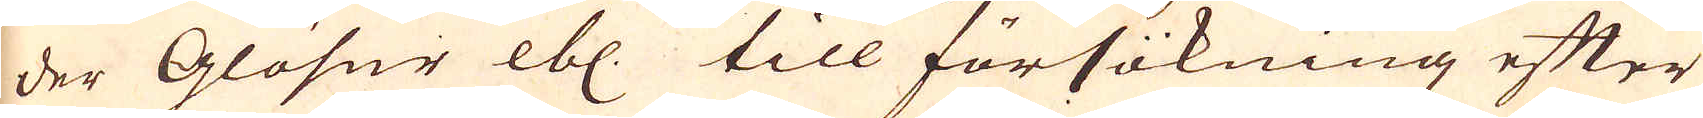der Glösur etc. till försökning efter
